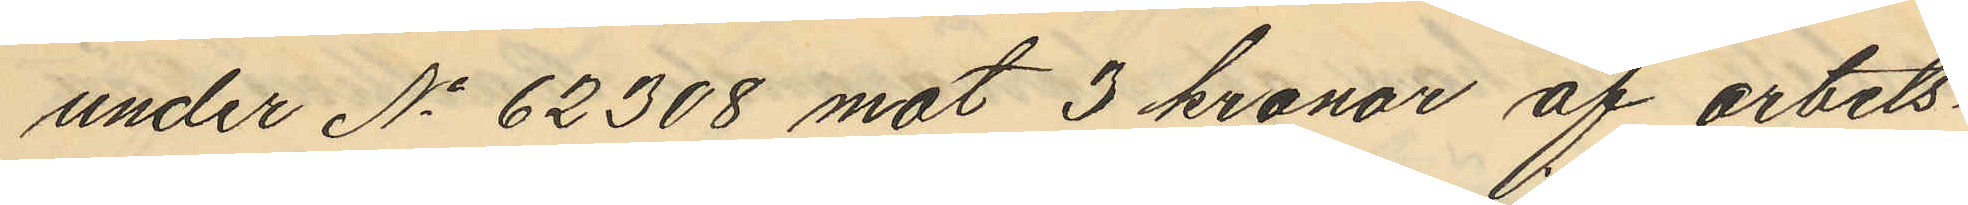under No 62308 mot 3 kronor af arbets¬
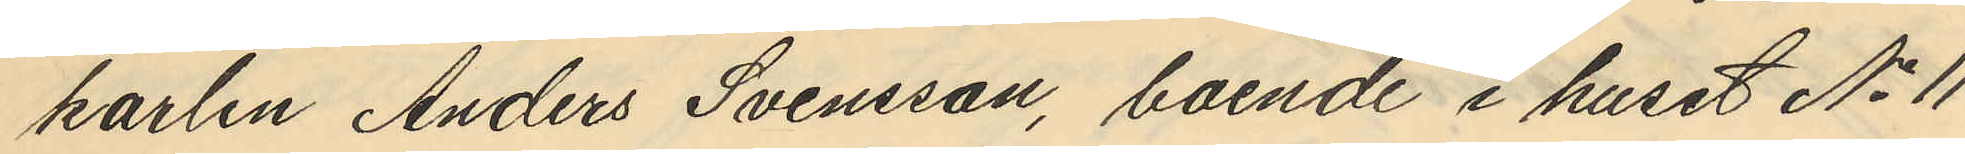karlen Anders Svensson, boende i huset No 11
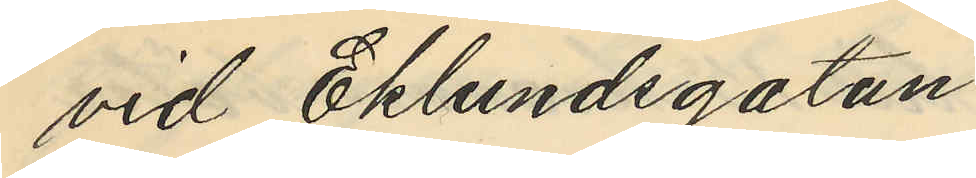vid Eklundsgatan.
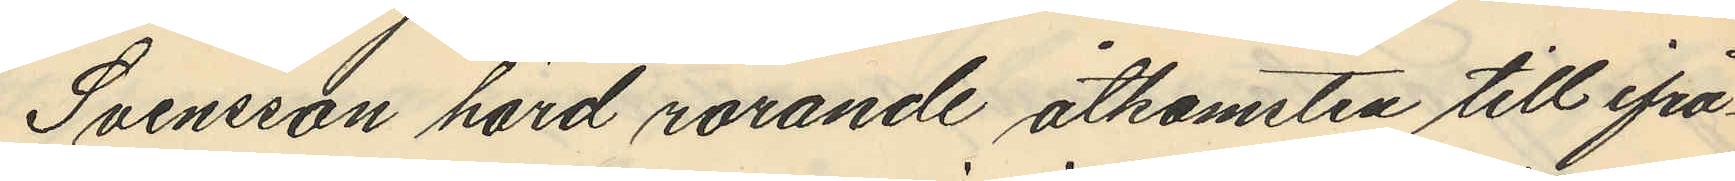Svensson hörd rörande åtkomsten till ifrå¬
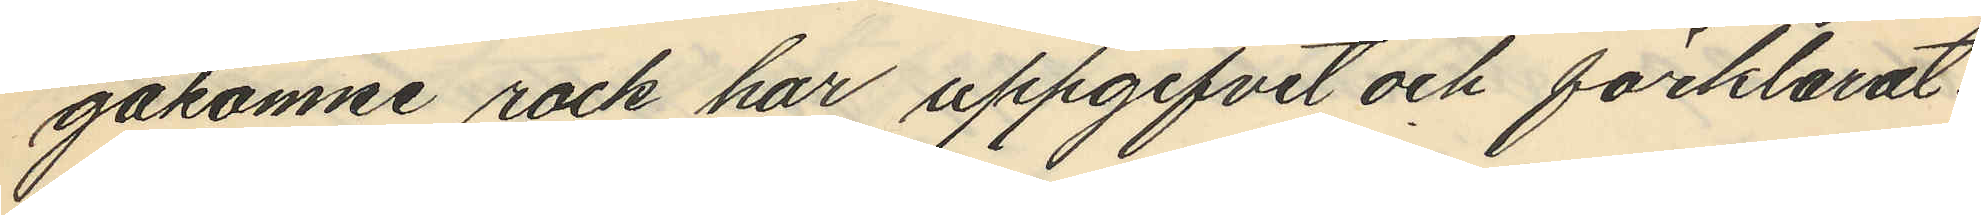gakomne rock har uppgifvit och förklarat:
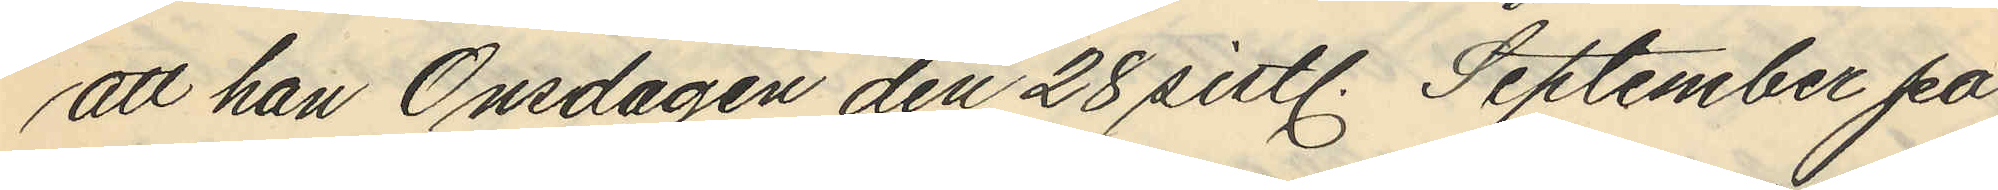att han Onsdagen den 28 sistl. September på
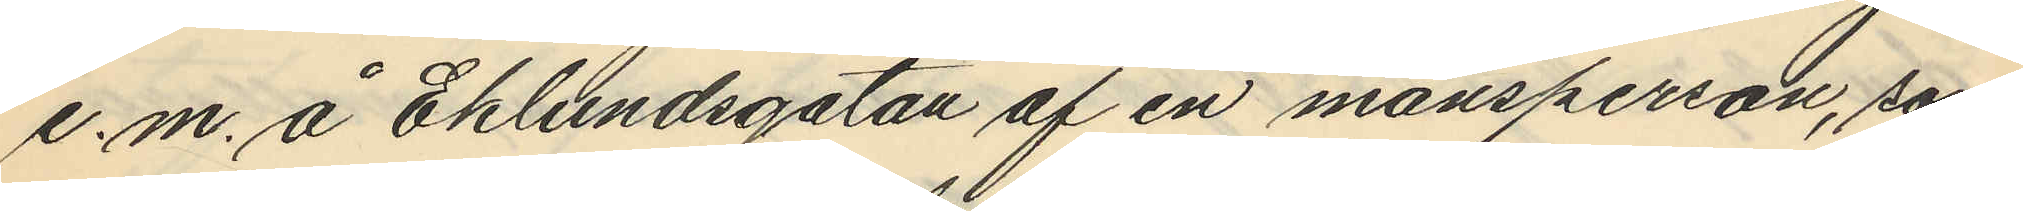e. m. å Eklundsgatan af en mansperson, som
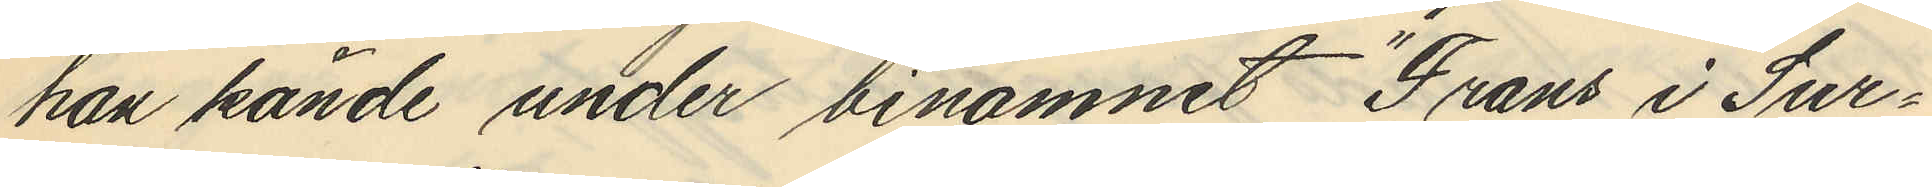han kände under binamnet "Frans i Sur¬
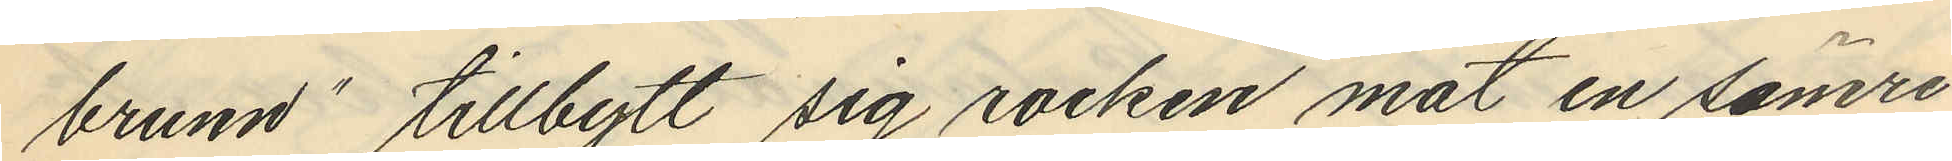brunn" tillbytt sig rocken mot en sämre
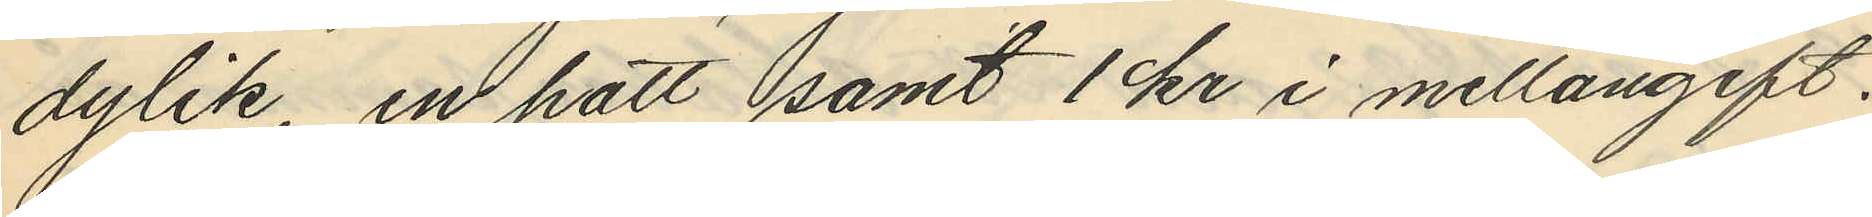dylik, en hatt amt 1 kr i mellangift.
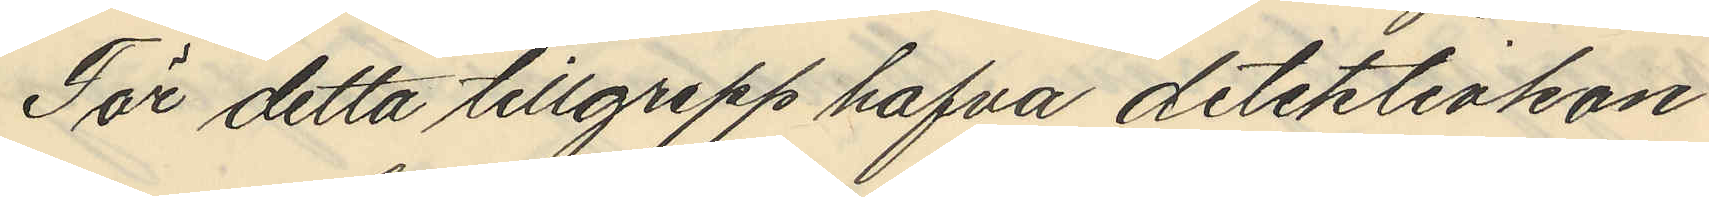För detta tillgrepp hafva detektivkon¬
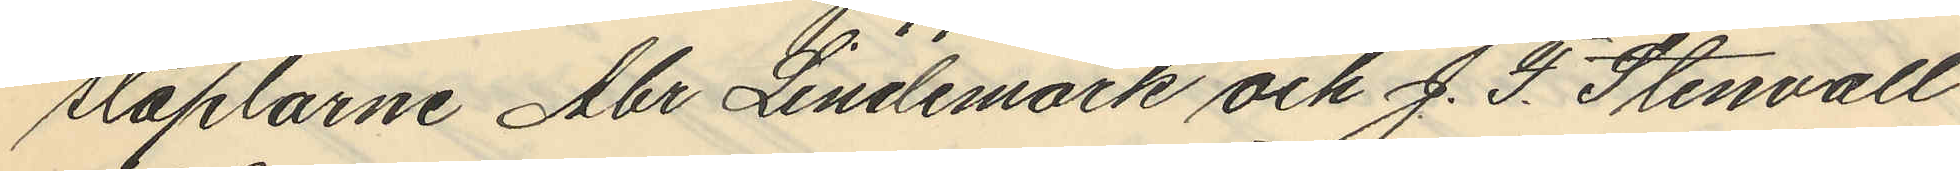staplarne Abr Lindemark och J. F. Stenvall
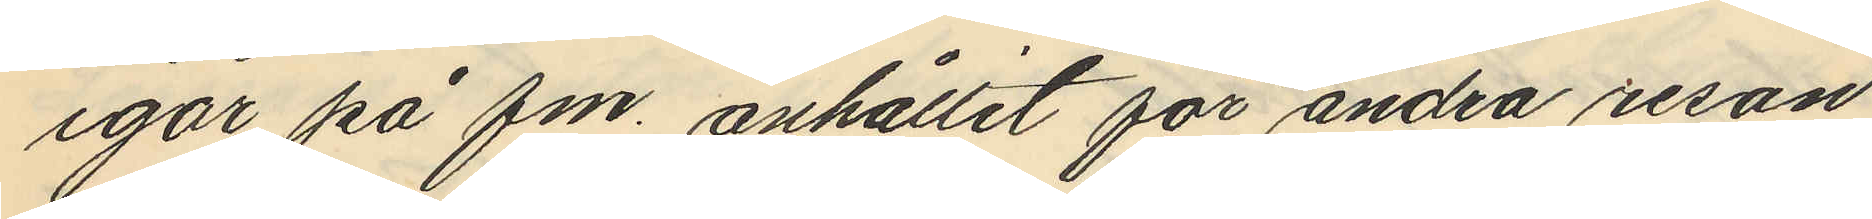igår på fm. anhållit för andra resan
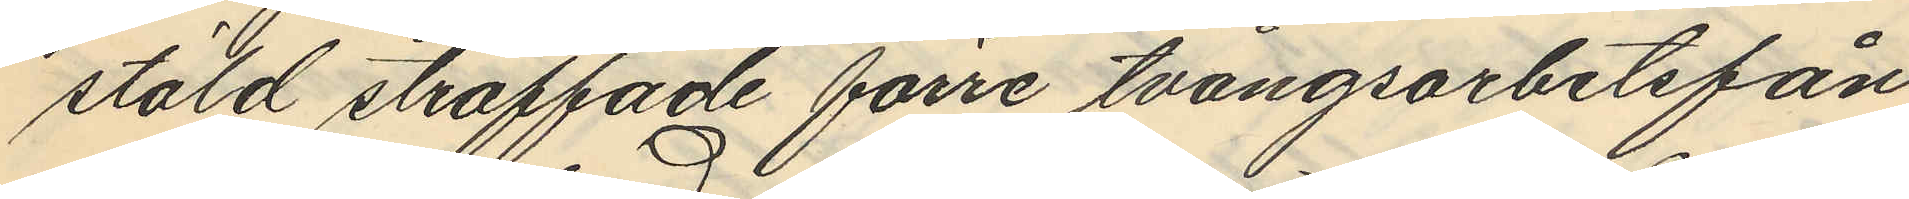stöld straffade förre tvångsarbetsfån
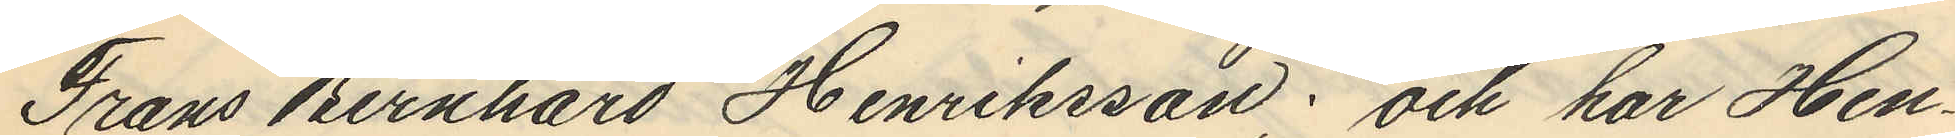Frans Bernhard Henriksson; och har Hen¬
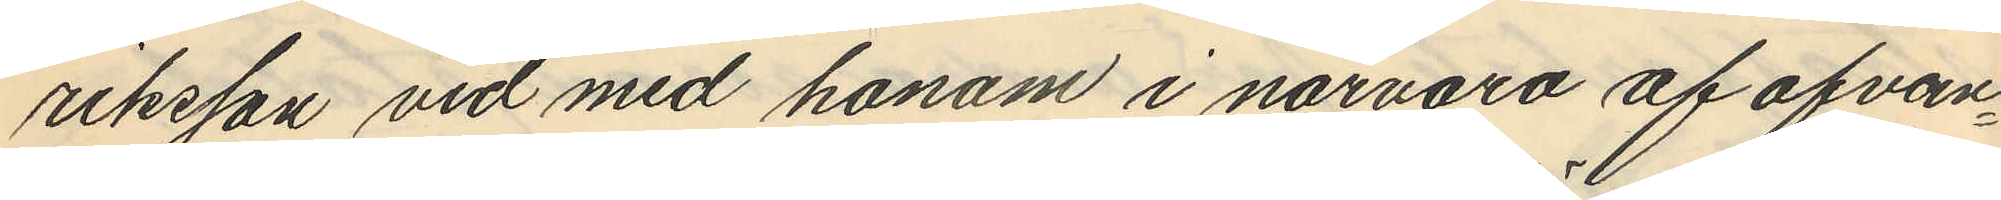riksson vid med honom i närvaro af ofvan¬
